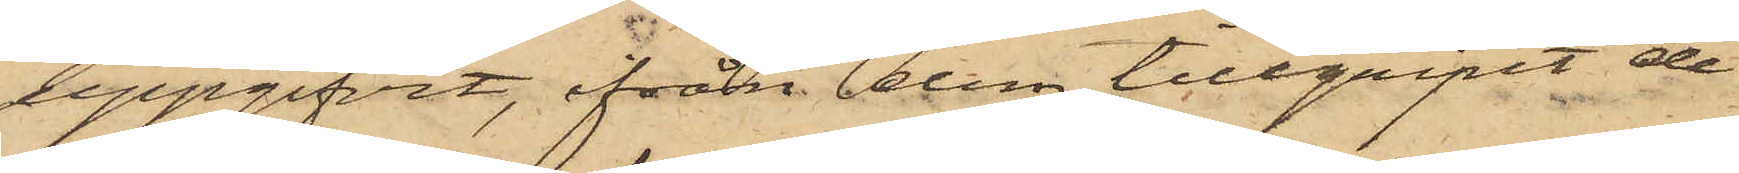uppgifvit, ifrån dem tillgripit de
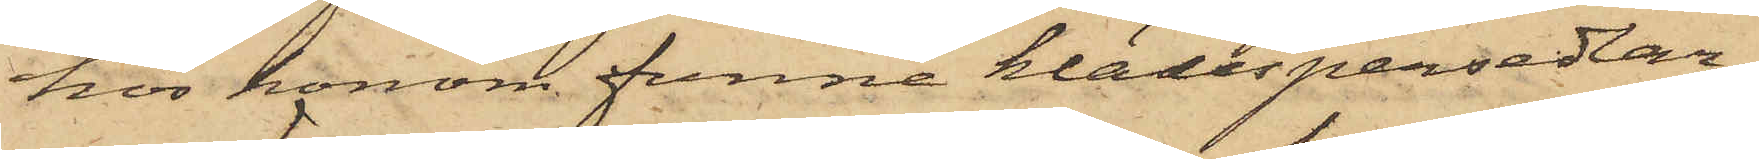hos honom funne klädespersedlar¬
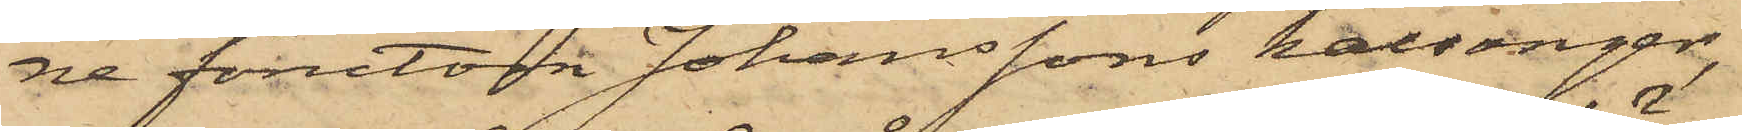ne förutom Johanssons kalsonger,
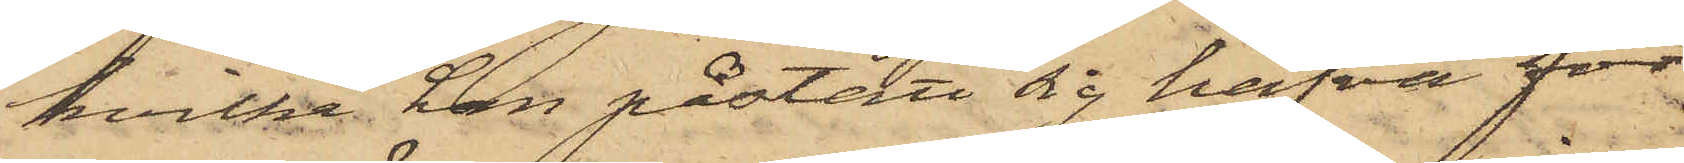hvilka han påstått sig hafva för¬
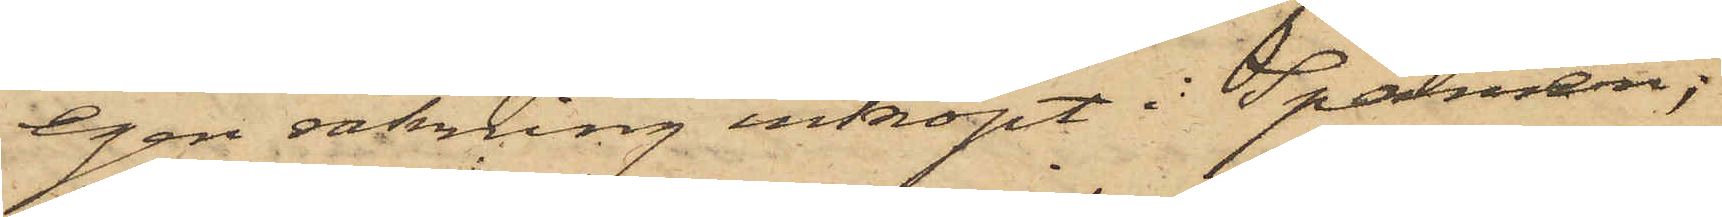egen räkning inköpt i Spanien;
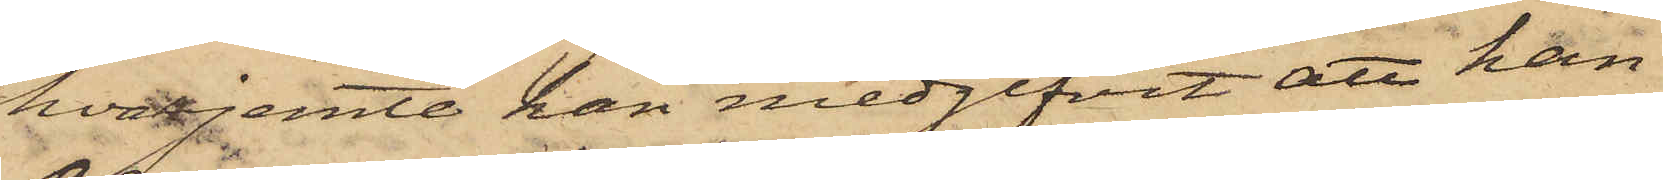hvarjemte han medgifvit att han
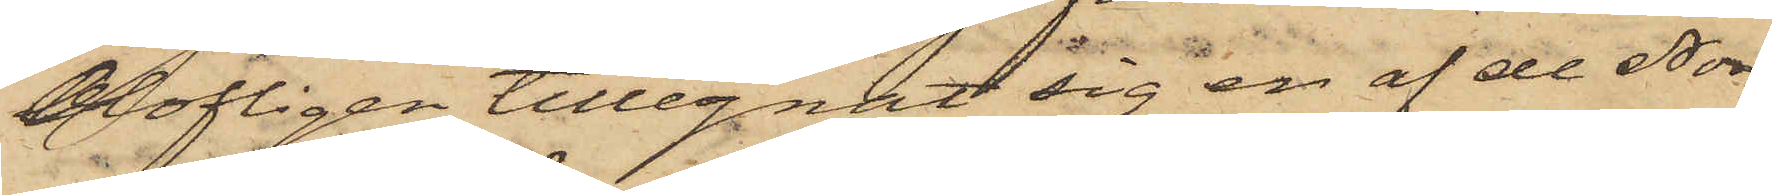Olofligen tillegnat sig en af de Nor¬
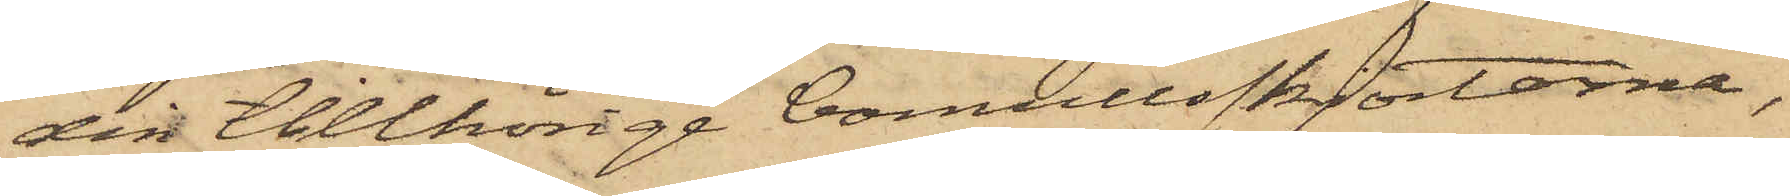din tillhörige bomullsskjortorna,
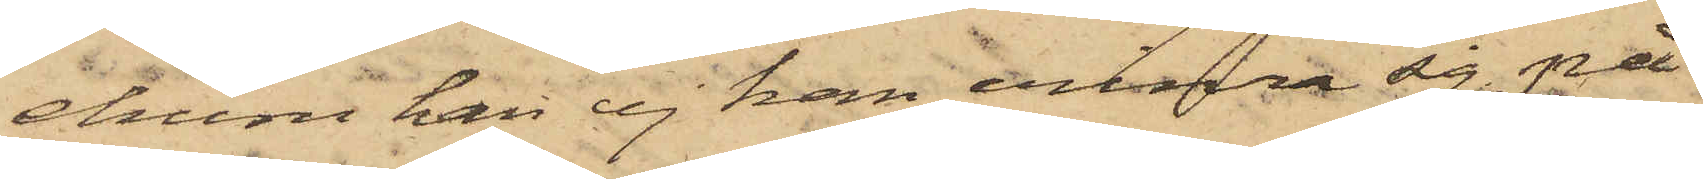ehuru han ej kan erinra sig på
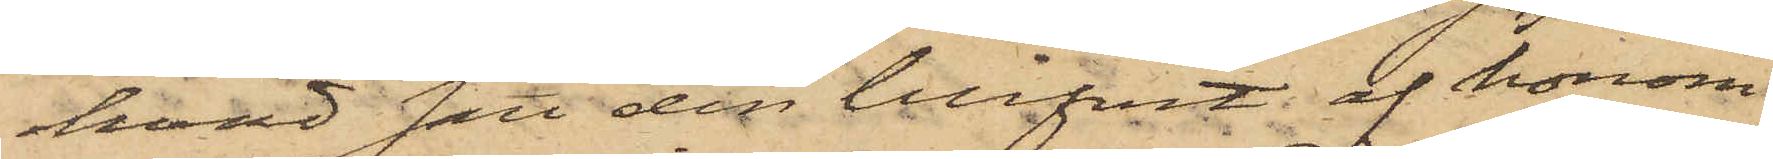hvad sätt den blifvit af honom
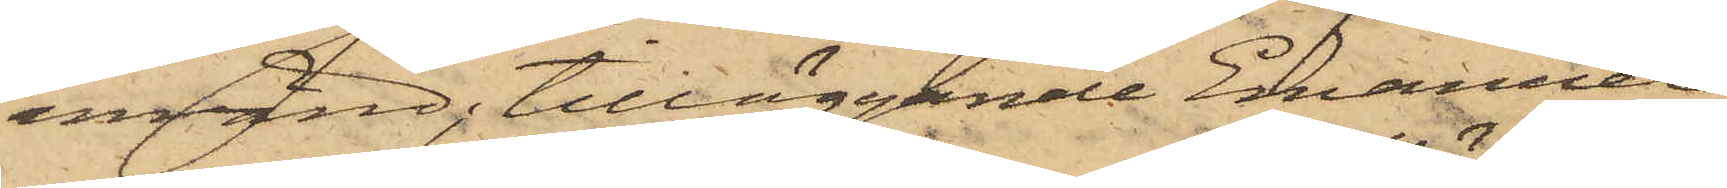använd, tilläggande Emanuel
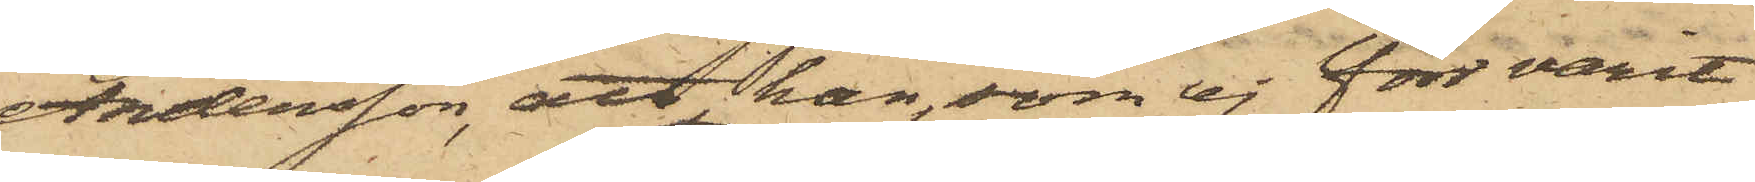Andersson, att han, som ej förr varit
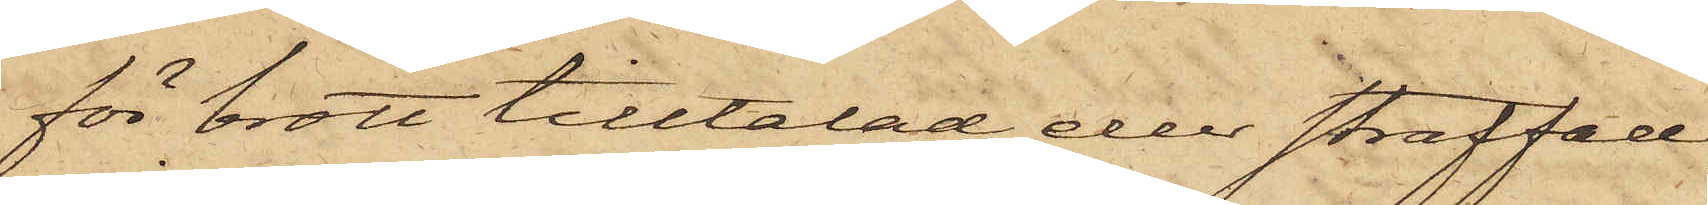för brott tilltalad eller straffad,
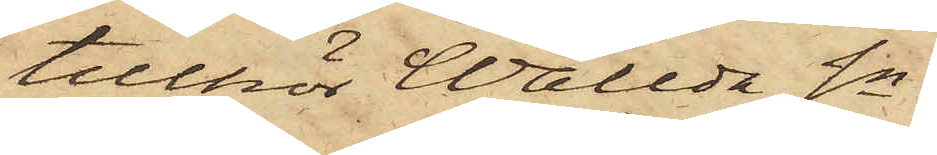tillhör Wallda Sn.
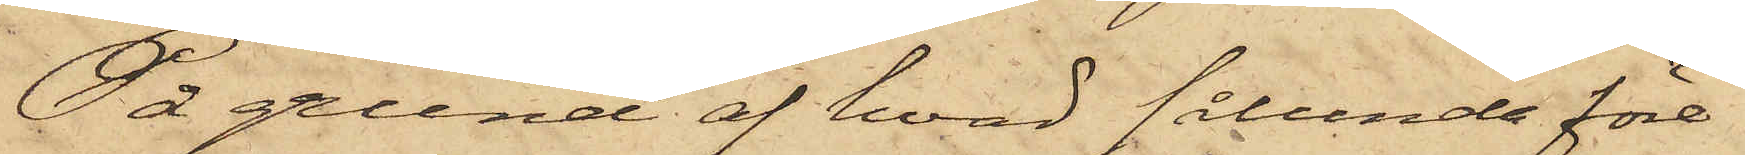På grund af hvad sålunda före¬
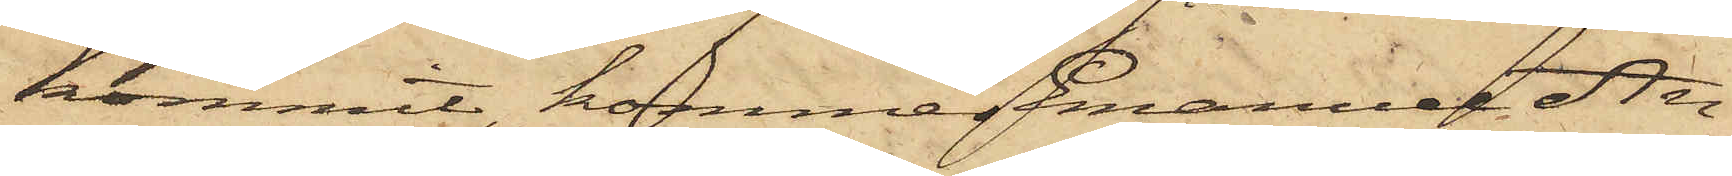kommit, kommer Emanuel An¬
